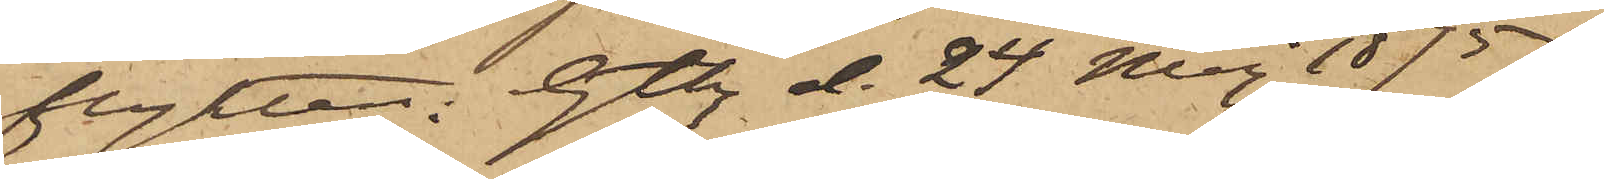flykten. Gtbg d. 24 Maj 1875.
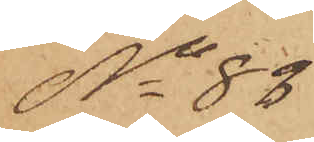No 83
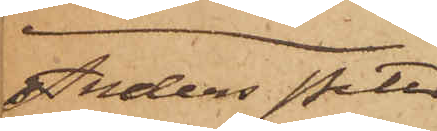Anders Peter
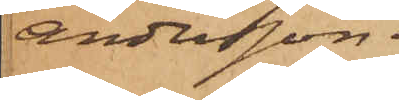Andersson.
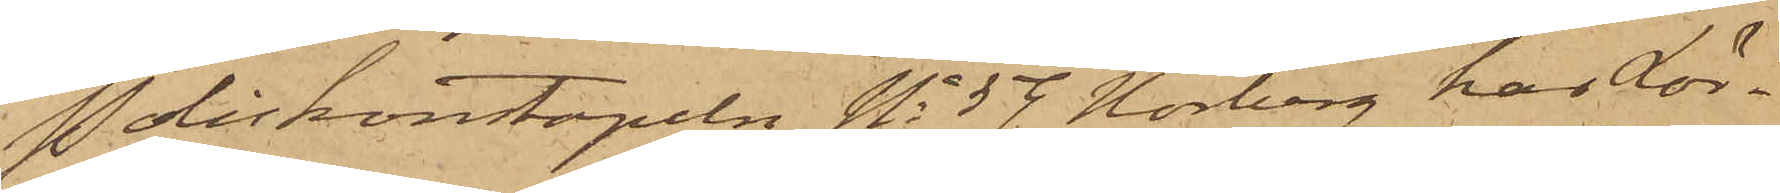Poliskonstapeln No 59 Norberg har Lör¬
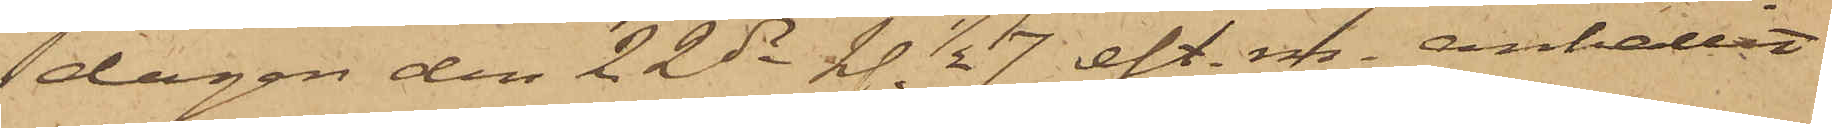dagen den 22 ds kl 1/2 7 eft. m. anhållit
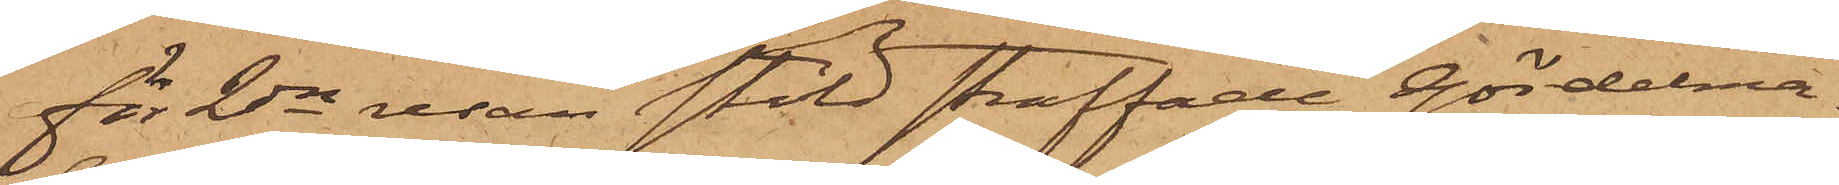för 2dra resan stöld straffade Gördelma¬
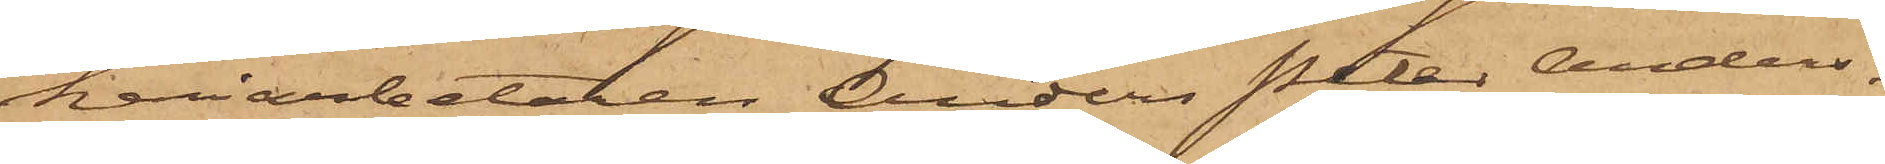keriarbetaren Anders Peter Anders¬
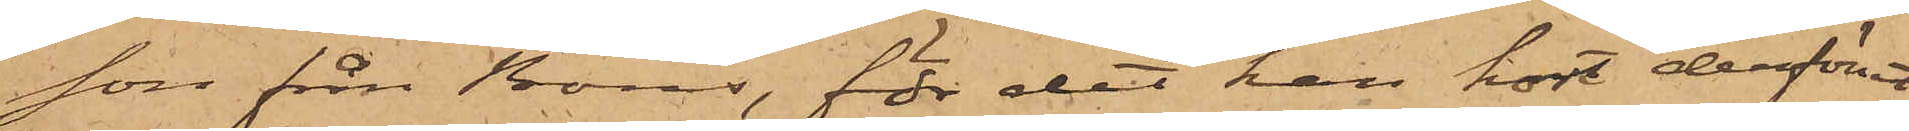son från Borås, för det han kort derförut
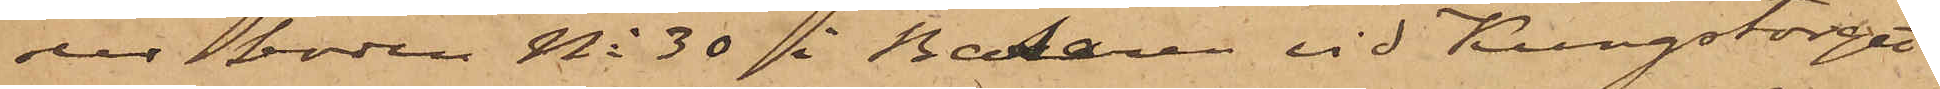ur boden No 30 på Bazaren vid Kungstorget
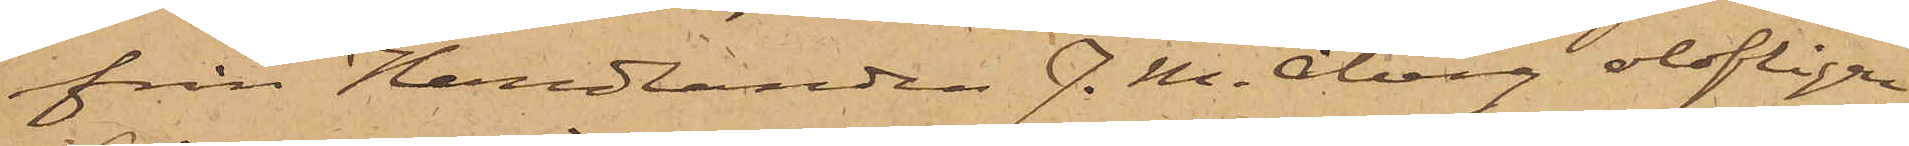från Handlanden J. M. Åberg olofligen
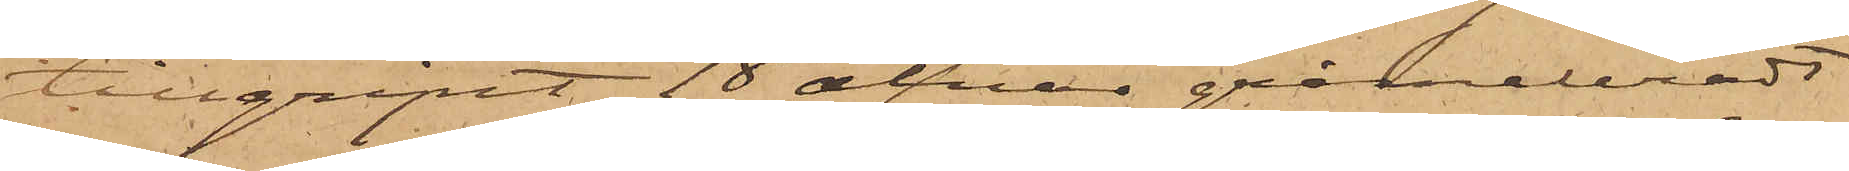tillgripit 18 alnar gråmeleradt
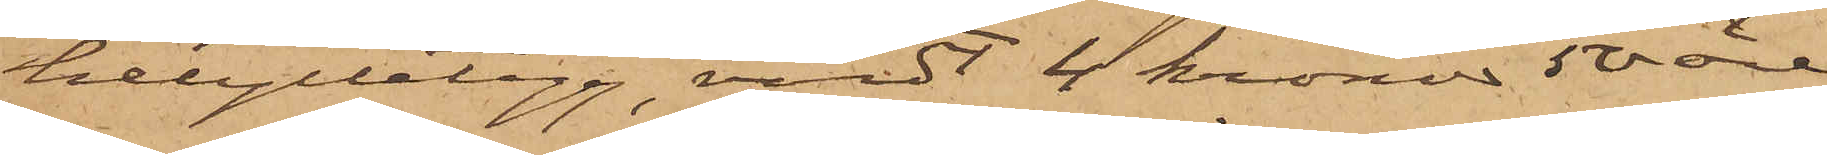helylletyg, värdt 4 kronor 50 öre
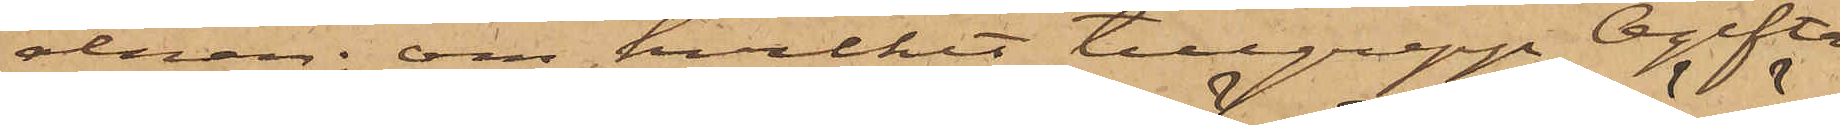alnen, om hvilket tillgrepp Ogifta
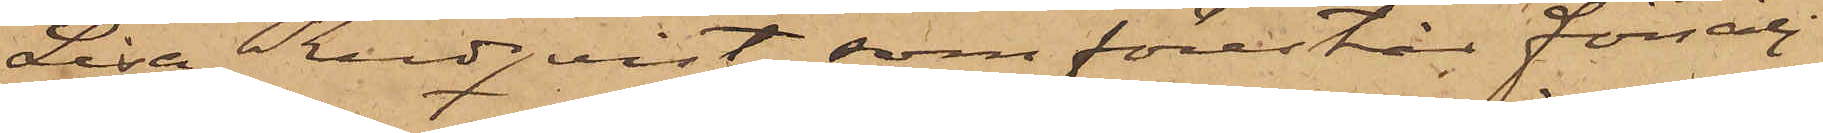Lisa Rudqvist, som förestår försälj¬
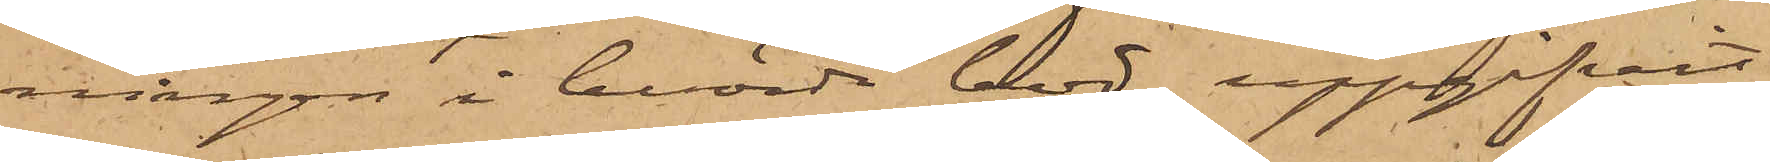ningen i berörde bod, uppgifvit
